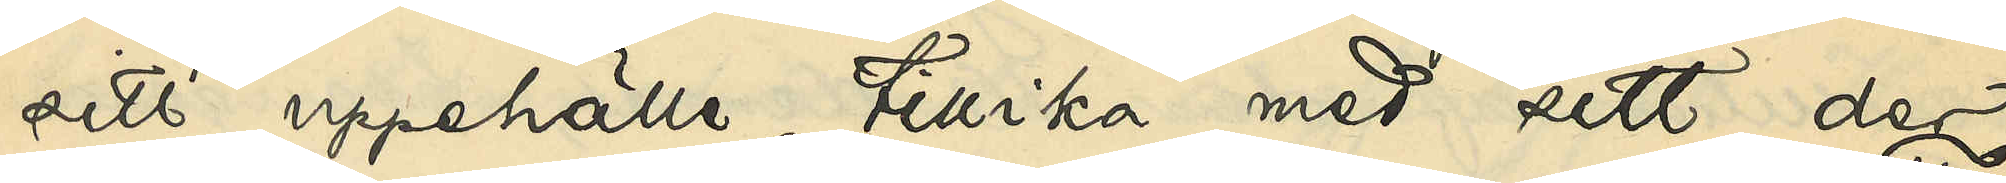sitt uppehälle tillika med sitt der
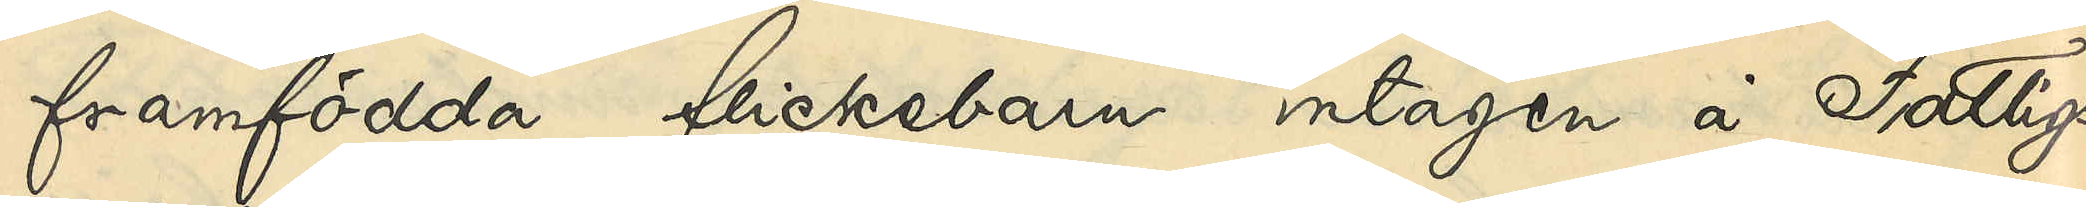framfödda flickebarn intagen å Fattigs¬
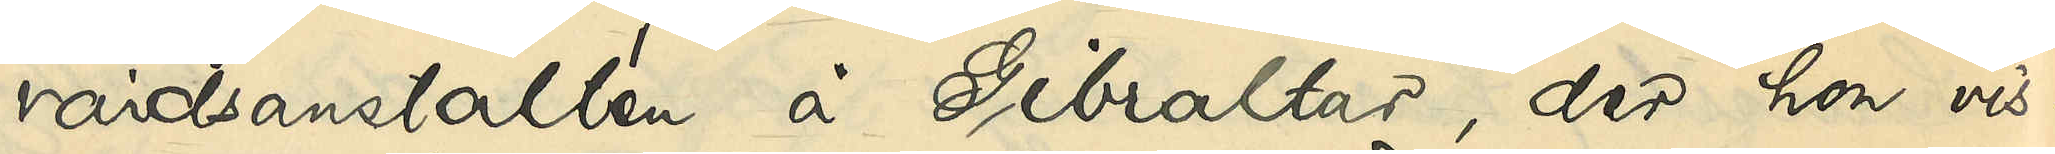vårdsanstalten å GIbraltar, der hon vis¬
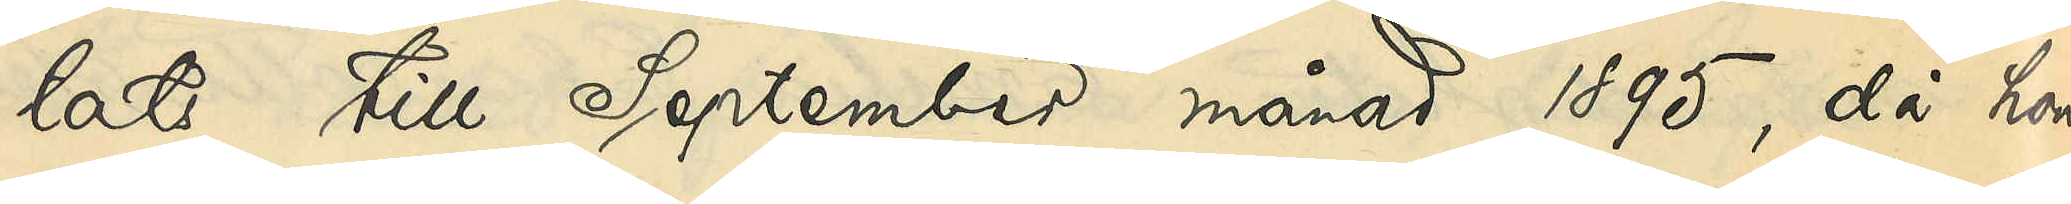tats till September månad 1895, då hon
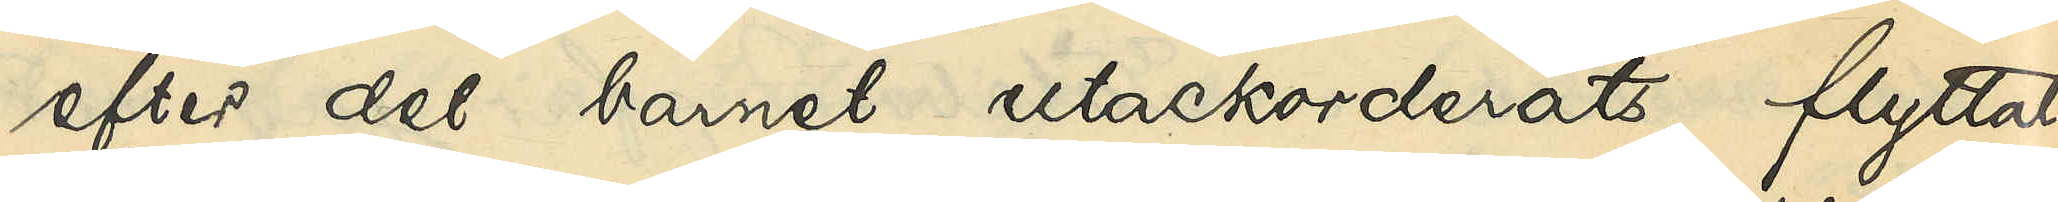efter det barnet utackorderats, flyttat
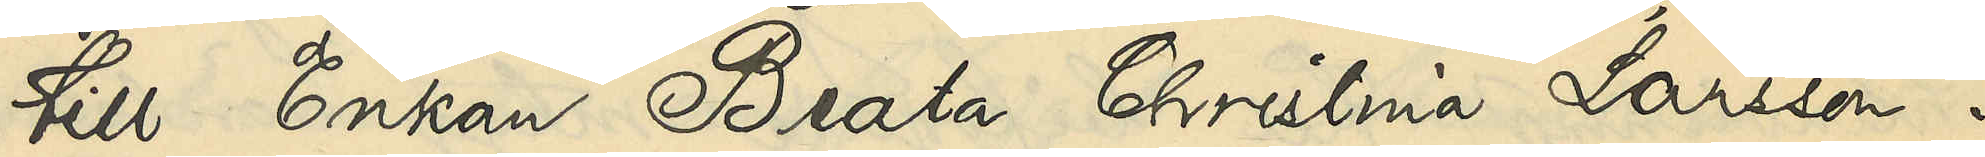till Enkan Beata Christina Larsson i
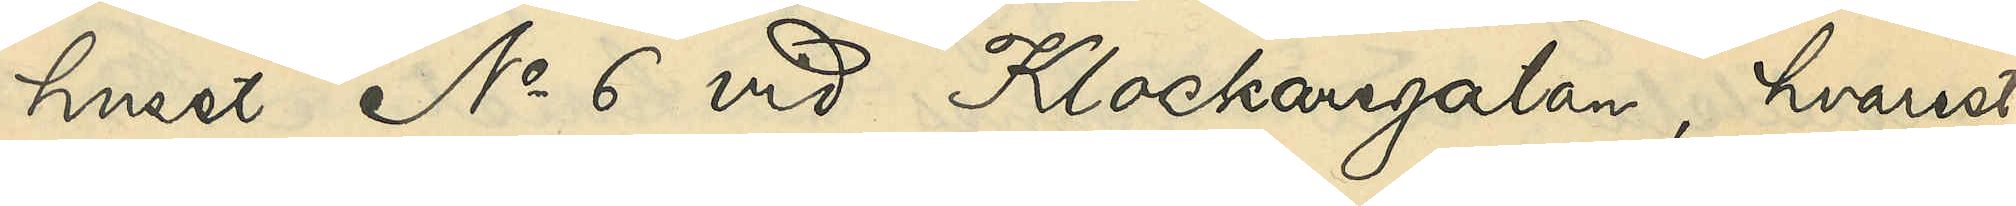huset No 6 vid Klockaregatan, hvarest
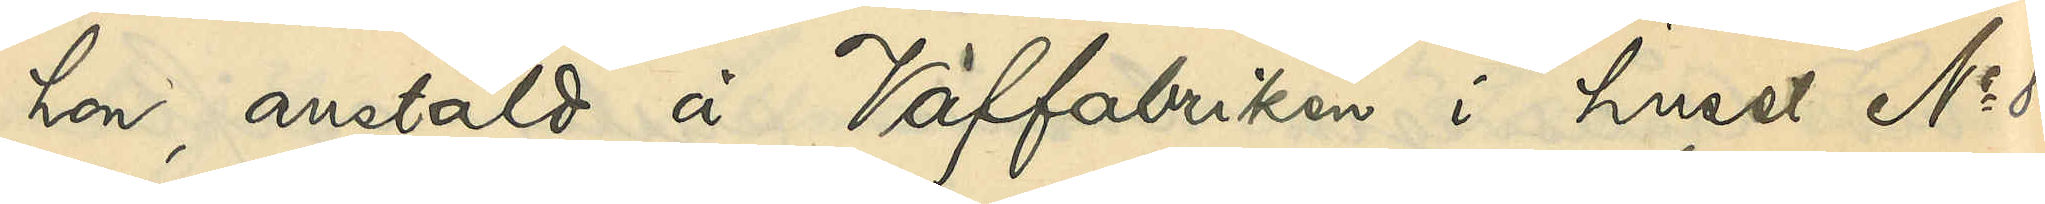hon anstäld å Väffabriken i huset No 8
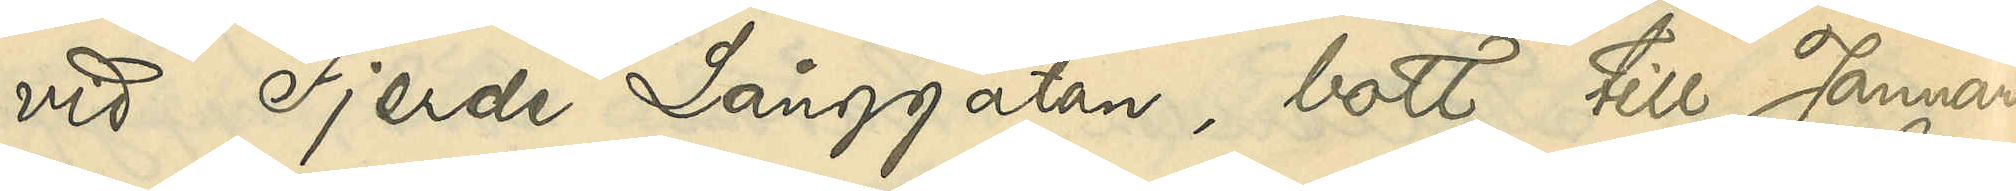vid Fjerde Långgatan, bott till Januari
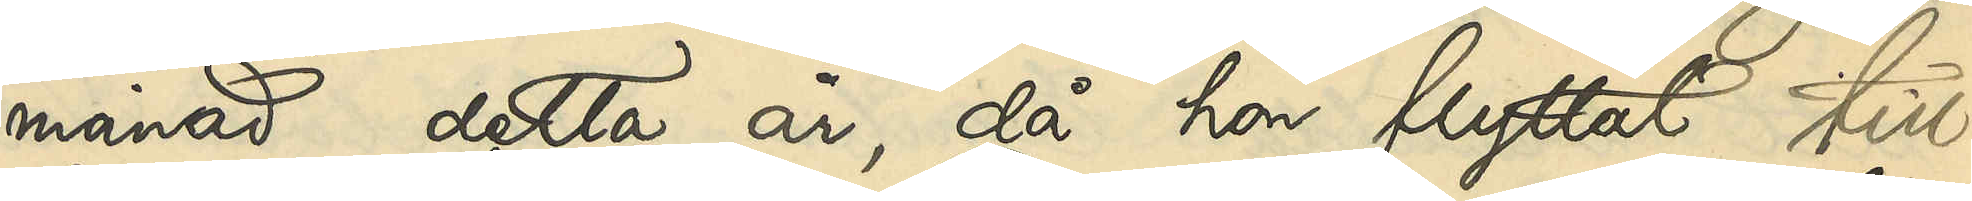månad detta år, då hon flyttat till
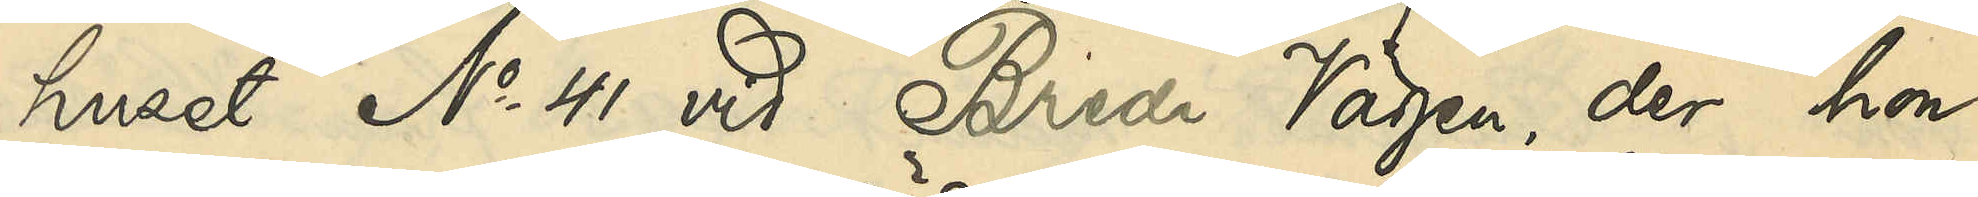huset No 41 vid Breda Vägen, der hon
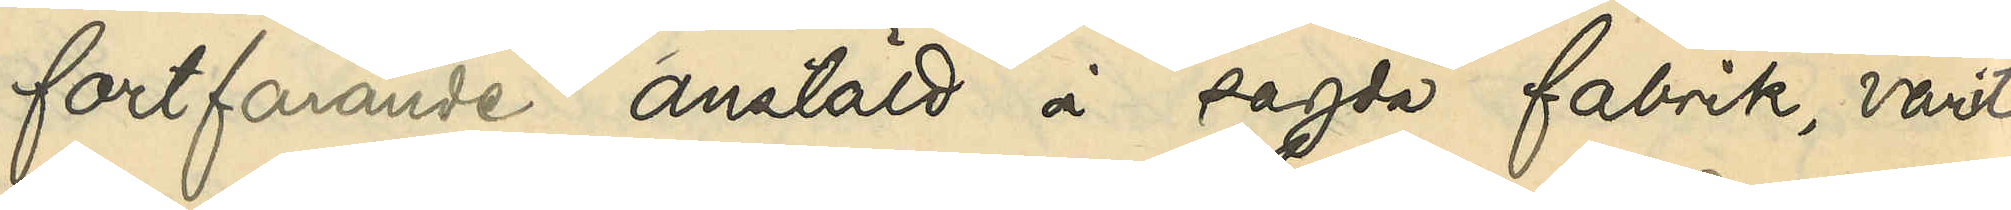fortfarande anstäld i sagda fabrik, varit
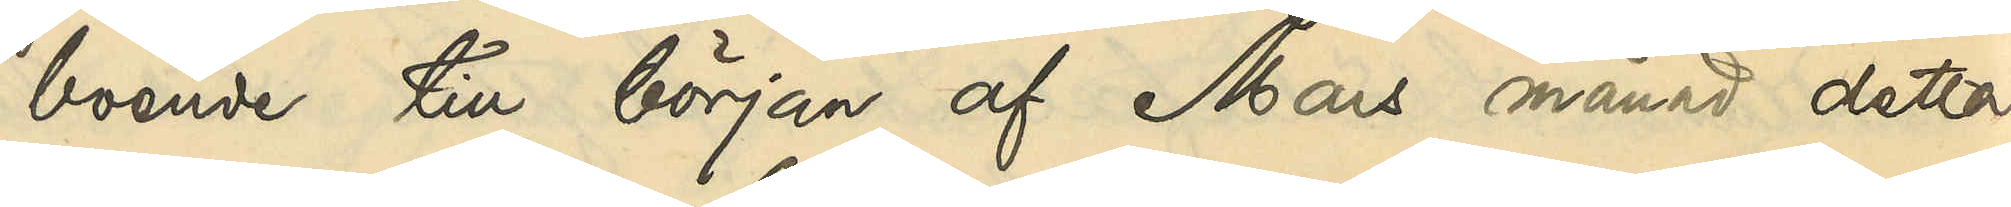boende till början af Mars månad detta
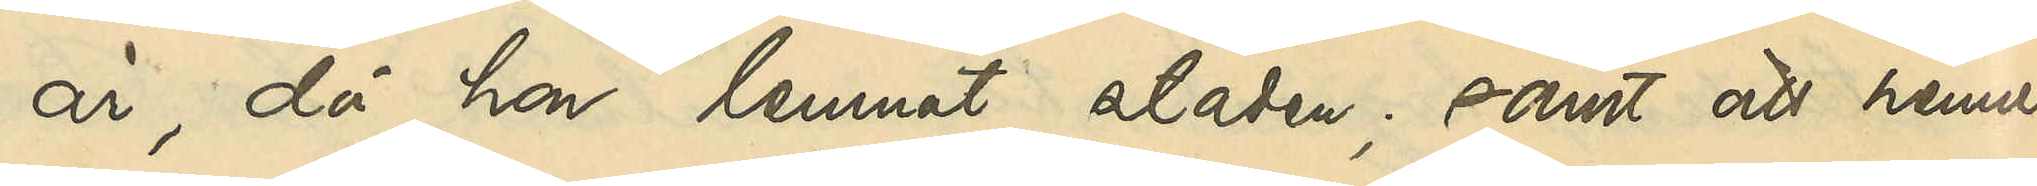år, då hon lemnat staden, samt att hennes
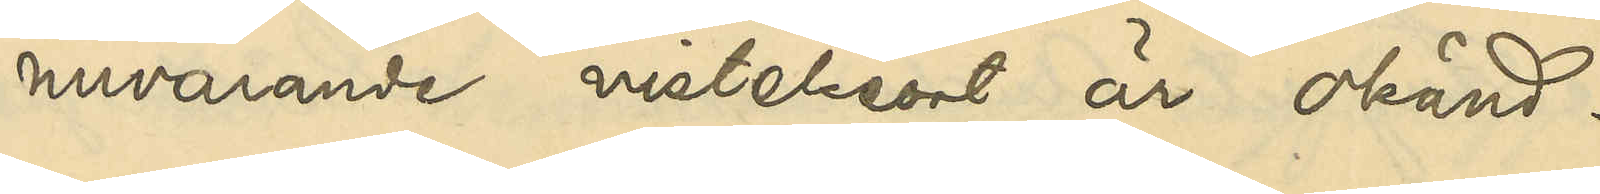nuvarande vistelseort är okänd.
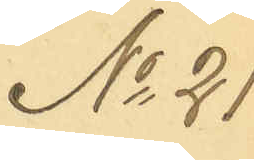No 21
